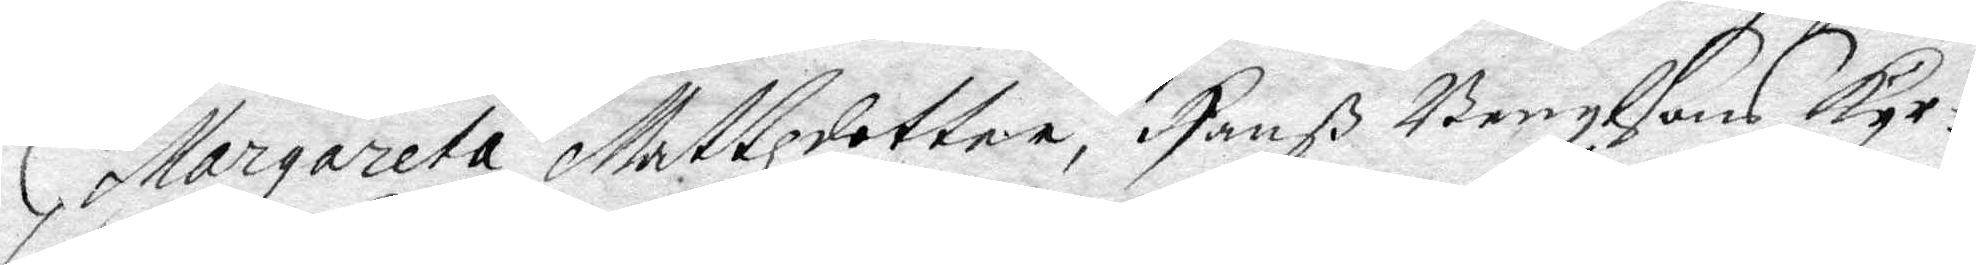Margareta Mattzdotter, Hanß Bengtsons kyr¬
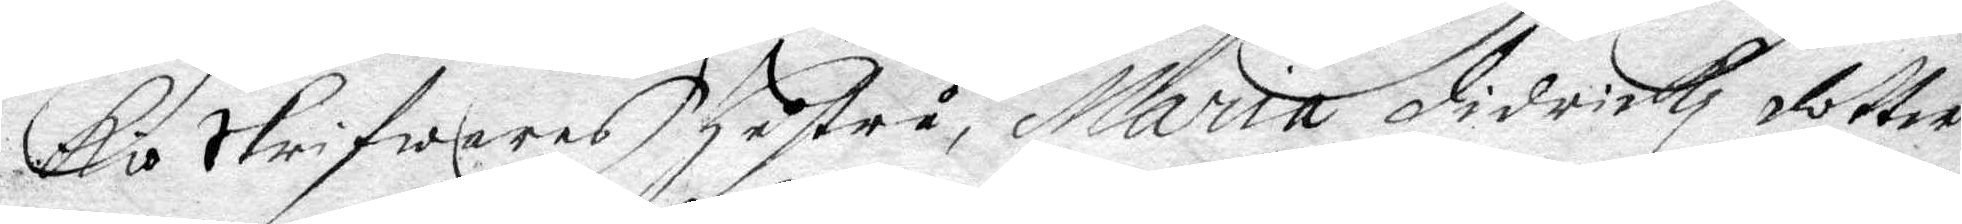kioSkrifwares hustru Maria didrichz dotter
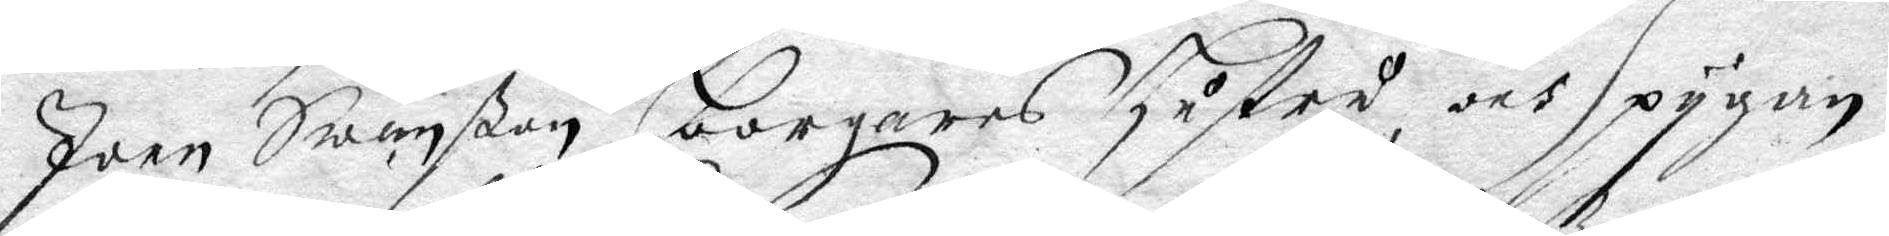Joen Swänßon borgares hustru och pygan
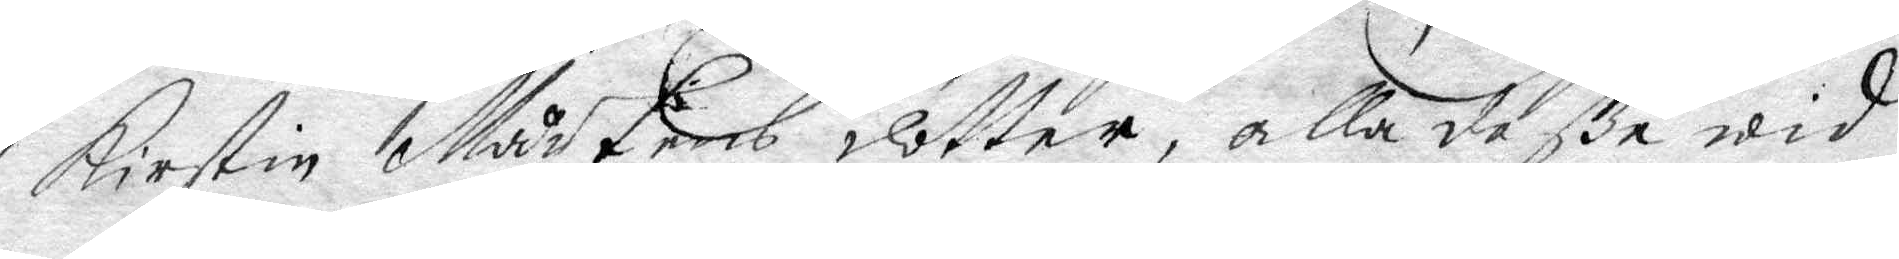Kirstin Mårtens dotter, alla deße wid
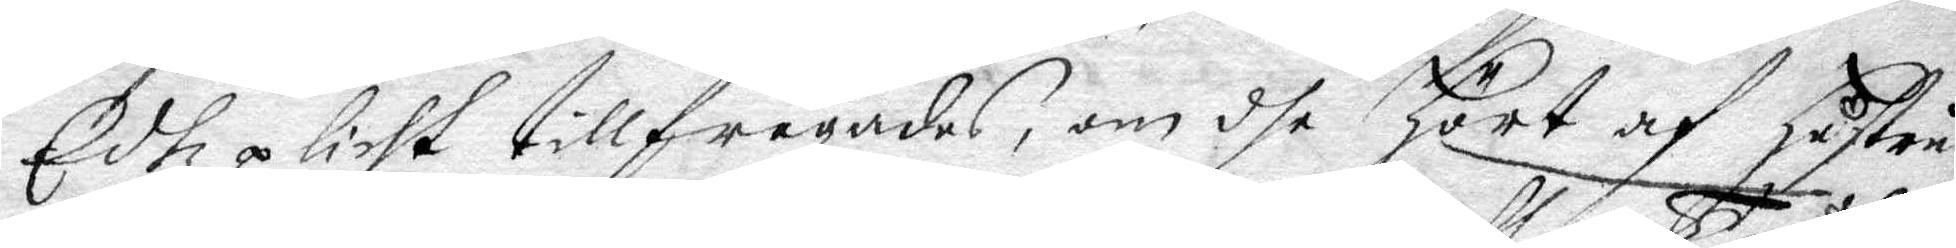Edzplicht tillfrågades, om dhe hört af hustru
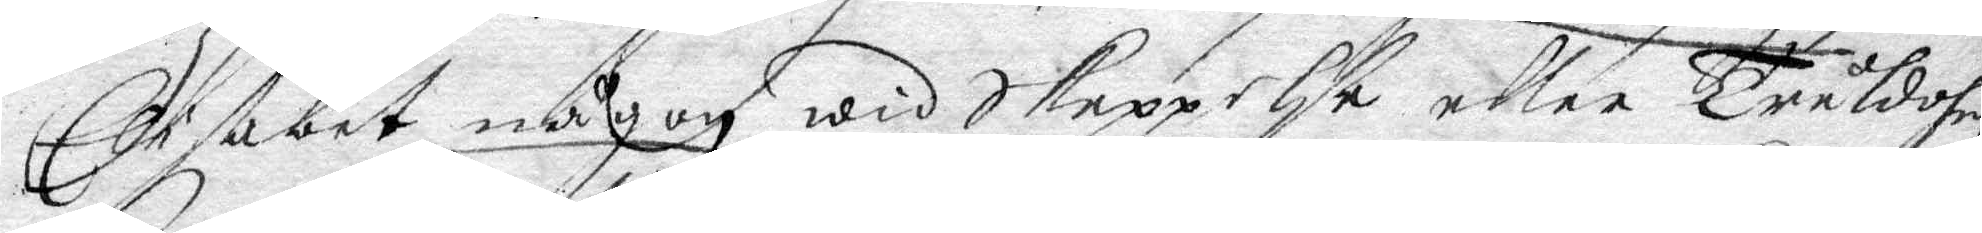Elisabet någon widskeppelse eller Tråldom
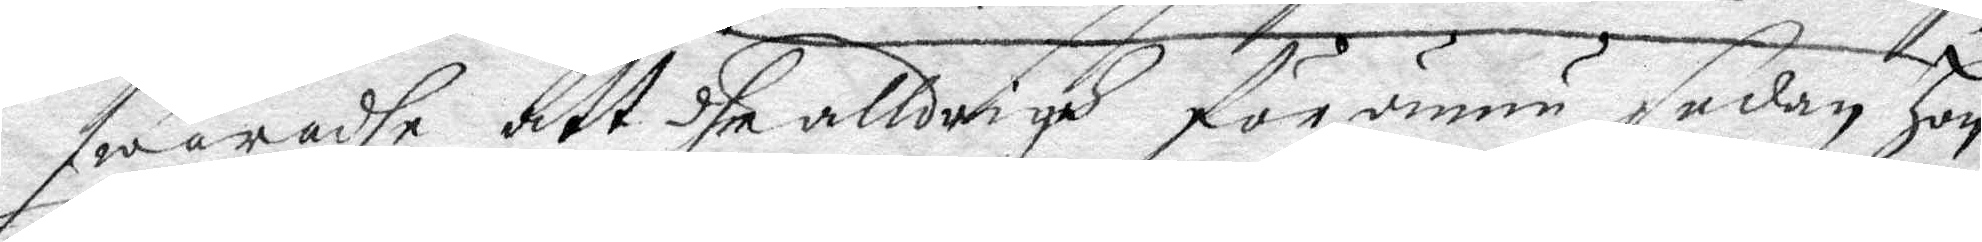swaradhe att dhe alldrigh för ännu sedan hon
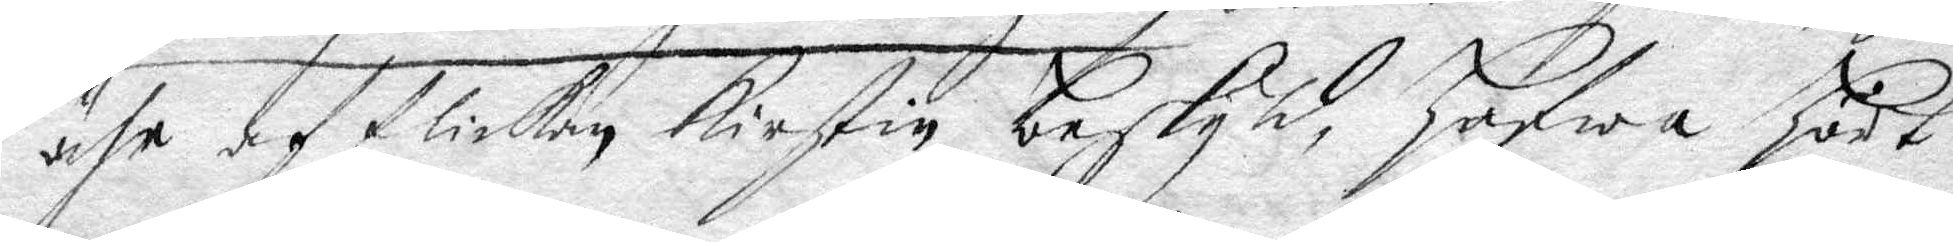ähr af flickan Kirstin beskyld, hafwa hört
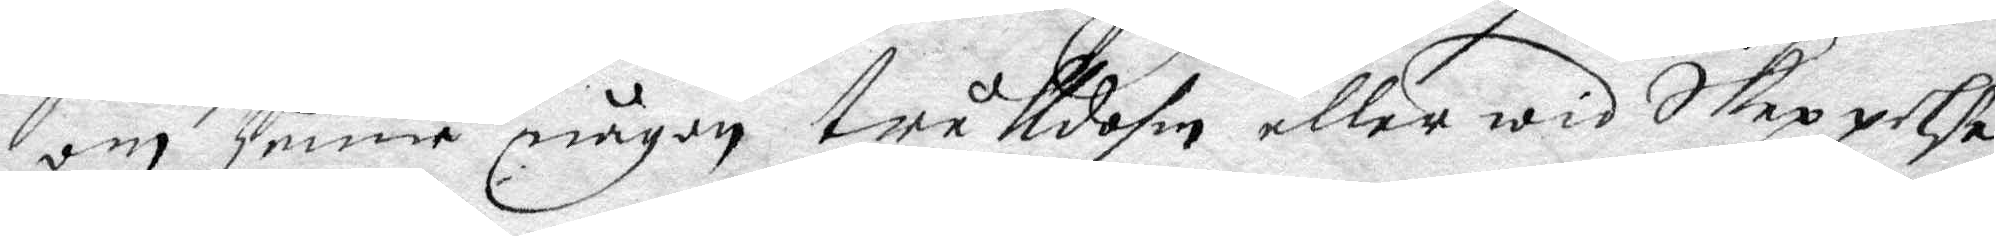om henne någon trålldohm eller widskepellse,
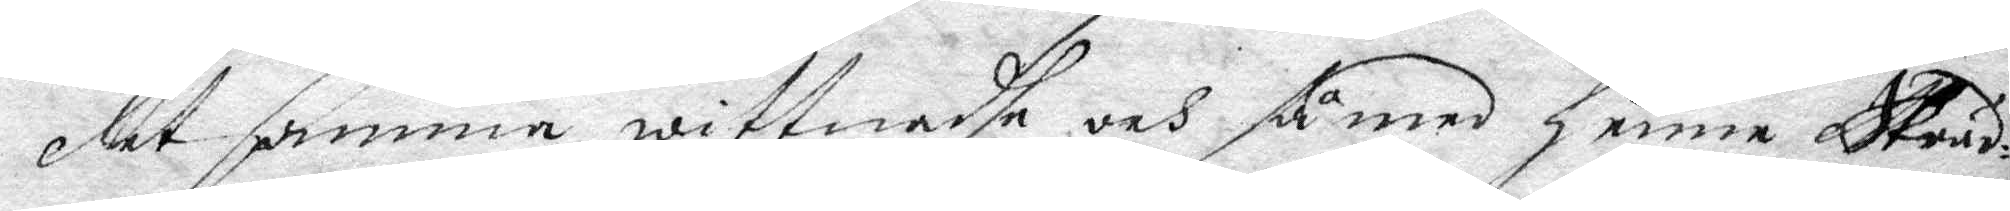det samma wittnadhe och så med henne Skräd¬
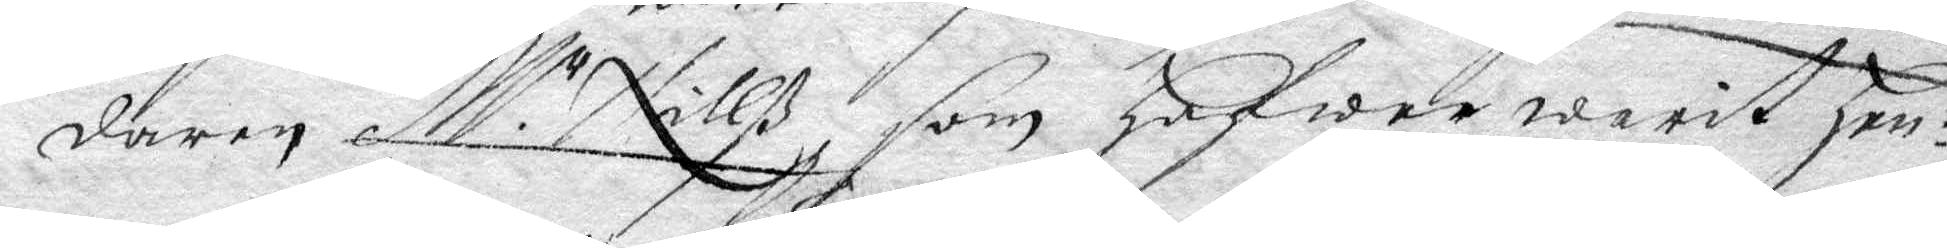daren Mr Nillß, som hafwer warit hen¬
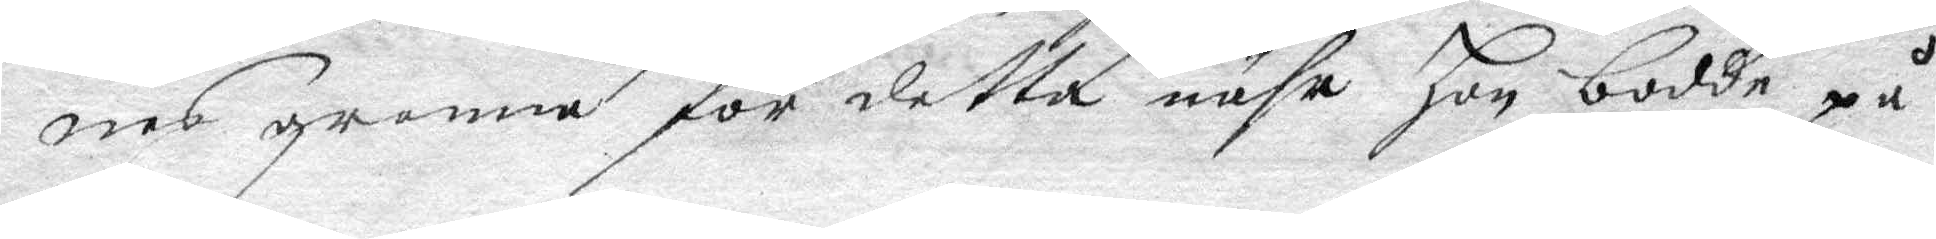nes granne för detta nähr han bodde på
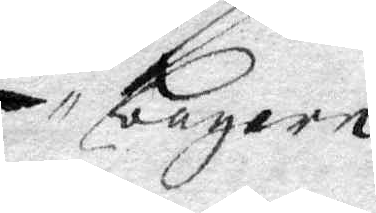bagern
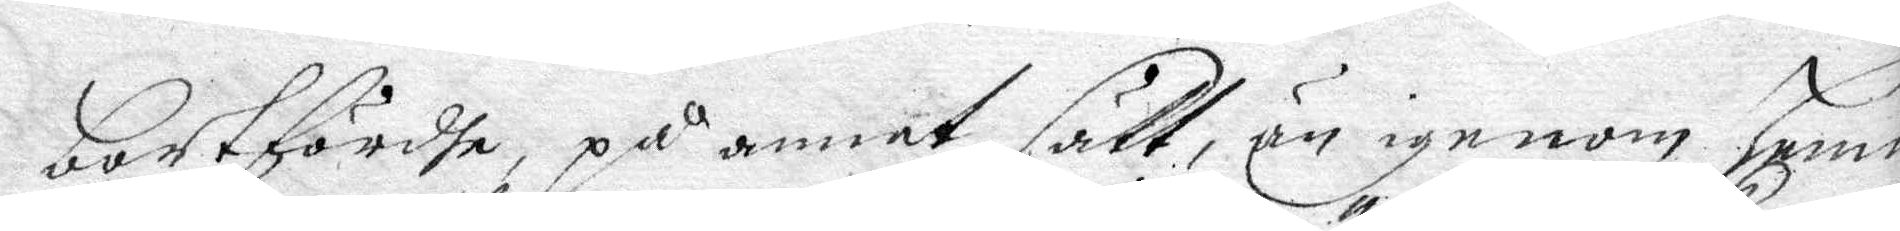bortförda, på annat sätt än igenom henne
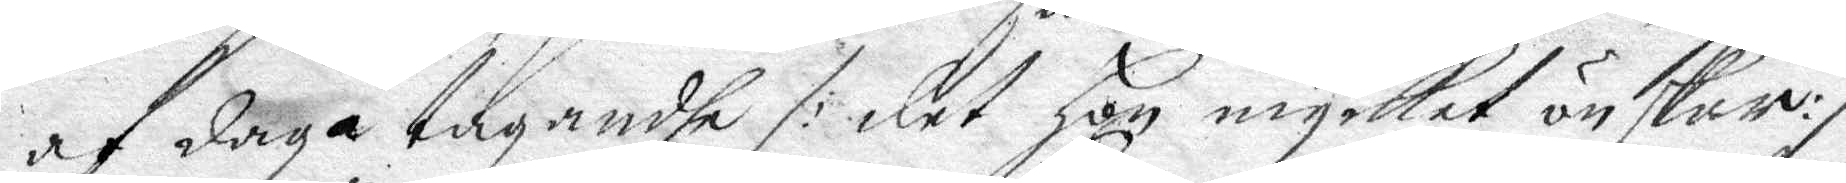af dagatagandhe /: det hon mycket önskar :/
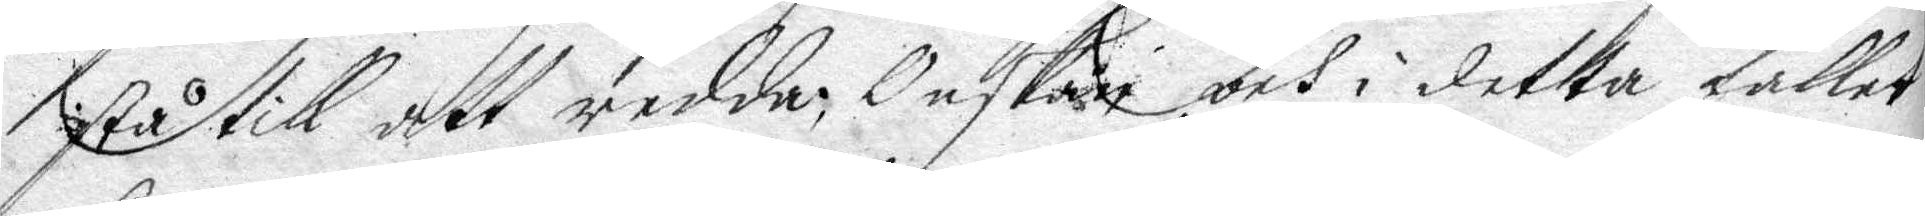stå till att redda; Onskan och i detta fallet
